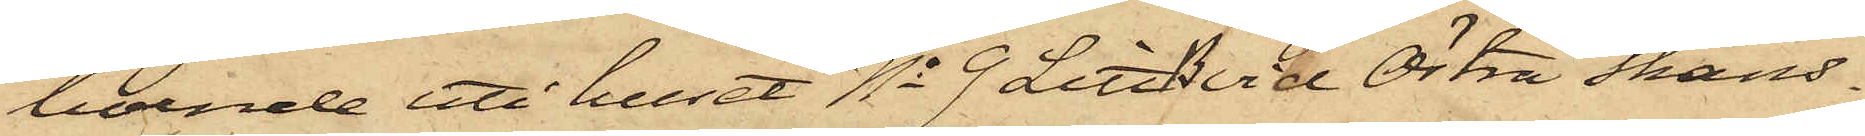boende uti huset No 9 Litt B vid Östra Skans¬
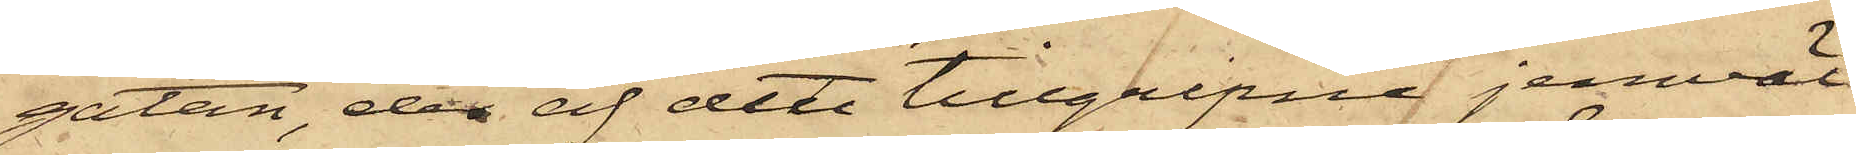gatan, der af det tillgripna jemväl
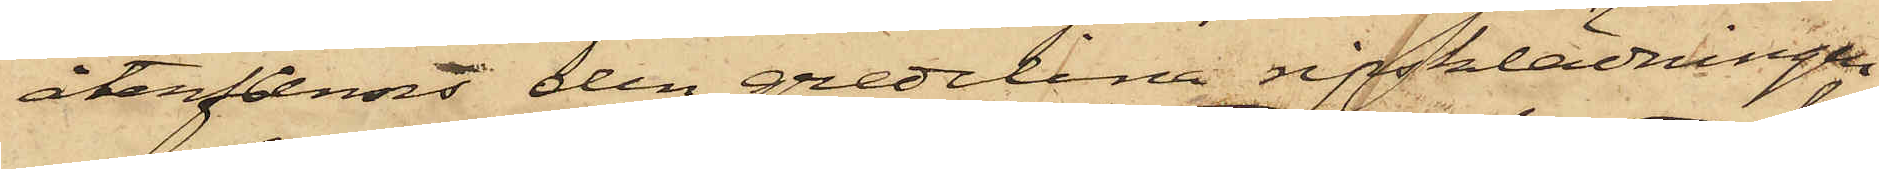återfanns den gredelina ripsklädningen,
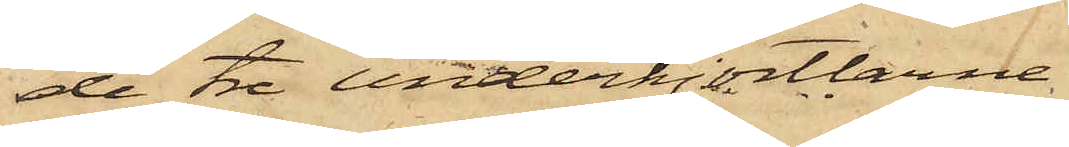de tre underkjortlarne
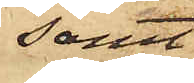samt
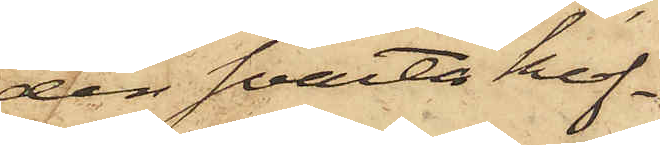den svarta kof¬
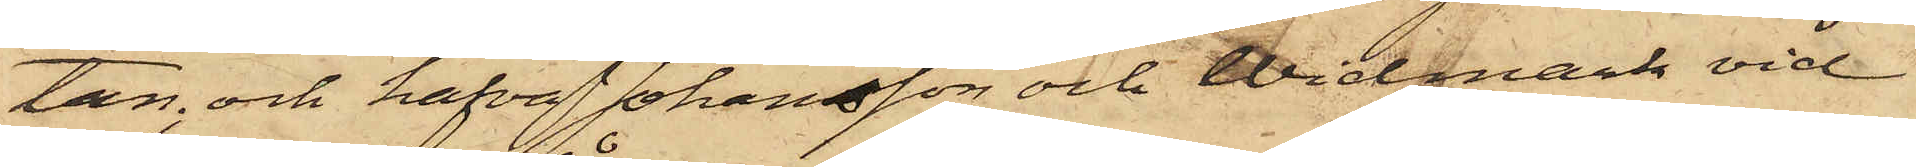tan; och hafva Johansson och Widmark vid
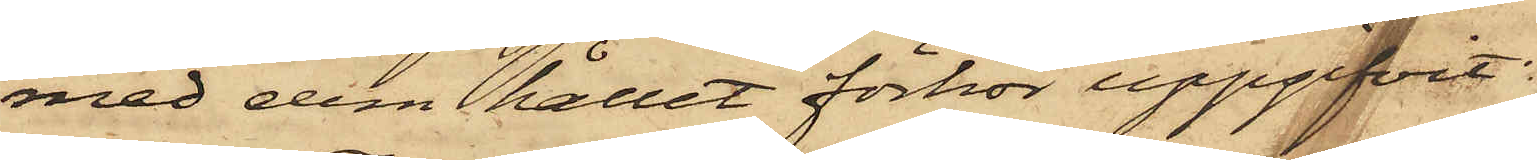med dem hållet förhör uppgifvit:
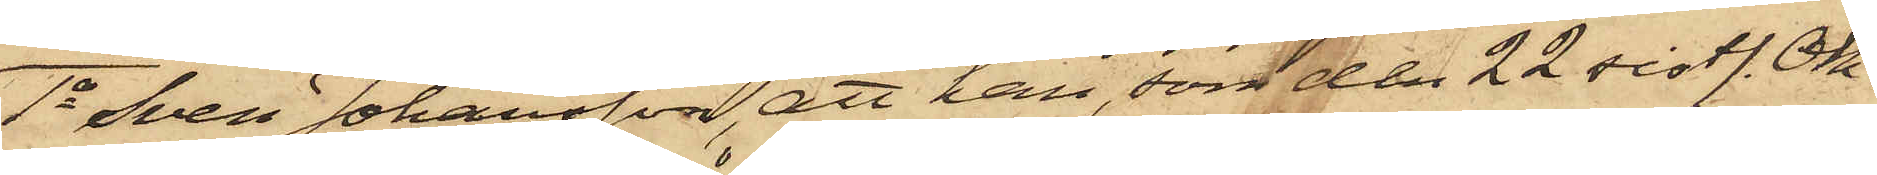1o Sven Johansson, att han, som den 22 sistl. Ok¬
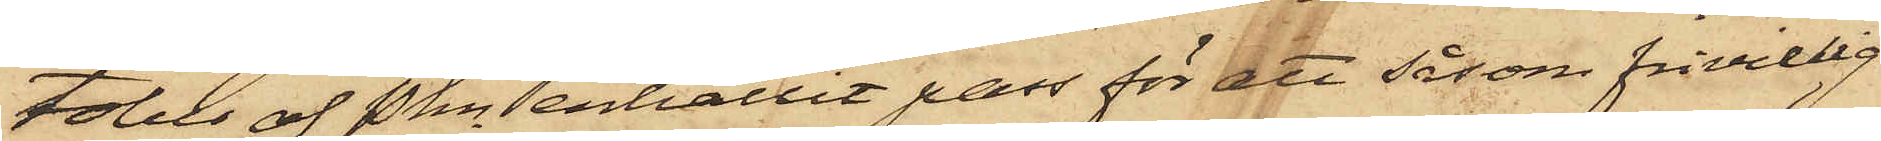tober af Pkn erhållit pass för att såsom frivillig
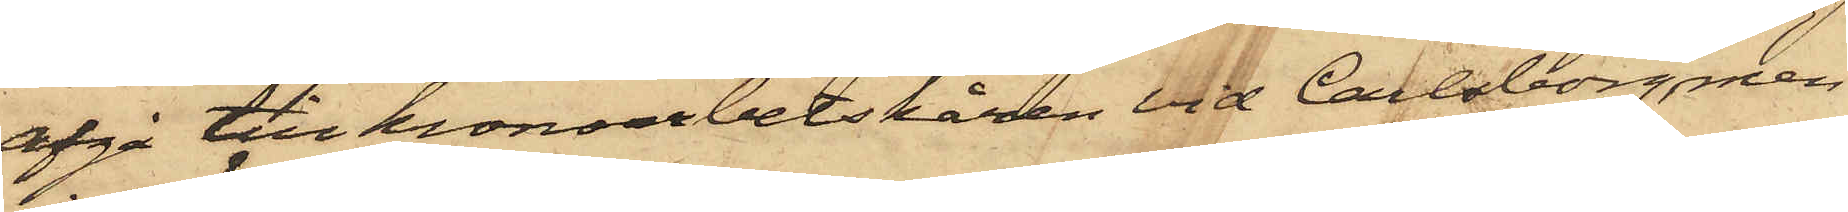afgå till kronoarbetskåren vid Carlsborg, men
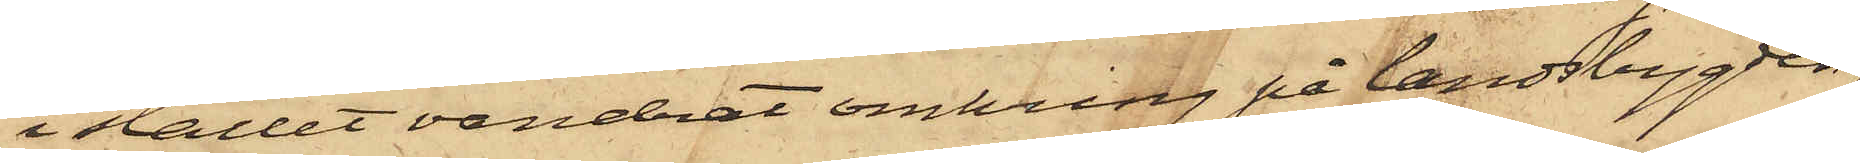i stället vandrat omkring på landsbygden,
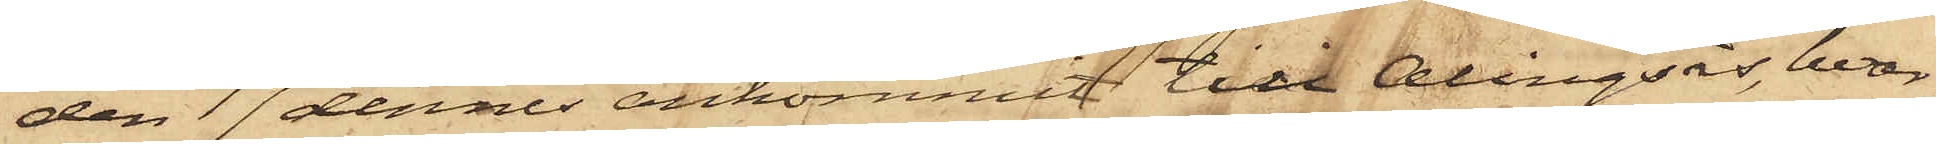den 17 dennes ankommit till Alingsås, hvar¬
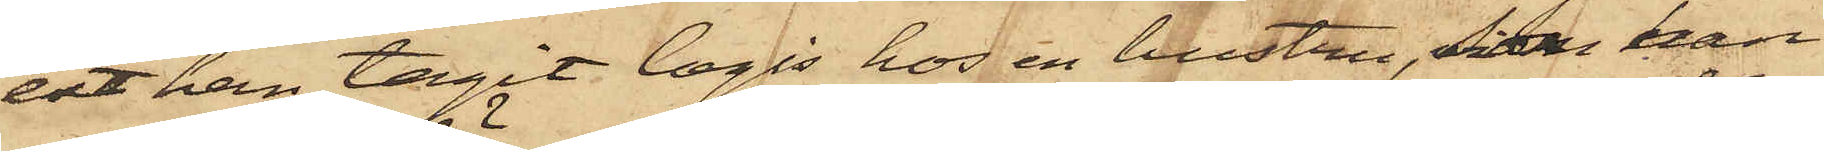ett han tagit logis hos en hustru, som han
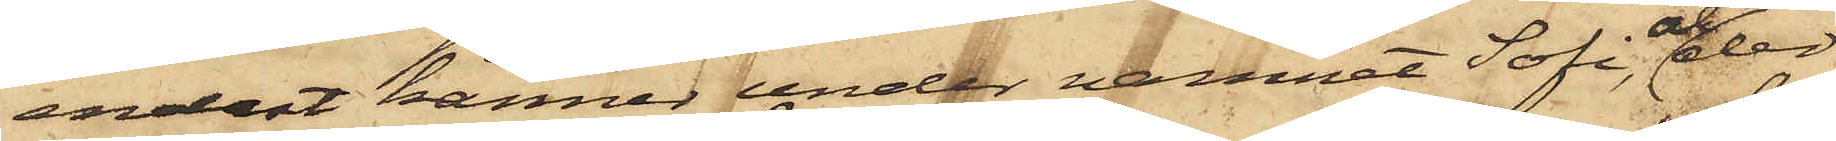endast känner under namnet Sofi, och der
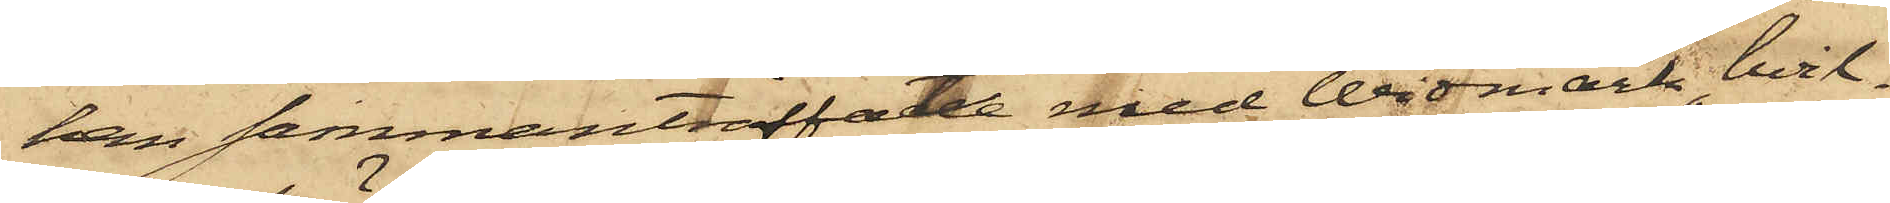han sammanträffat med Widmark, hvil¬
